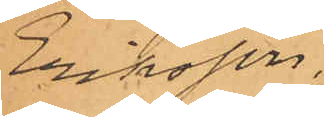Eriksson.
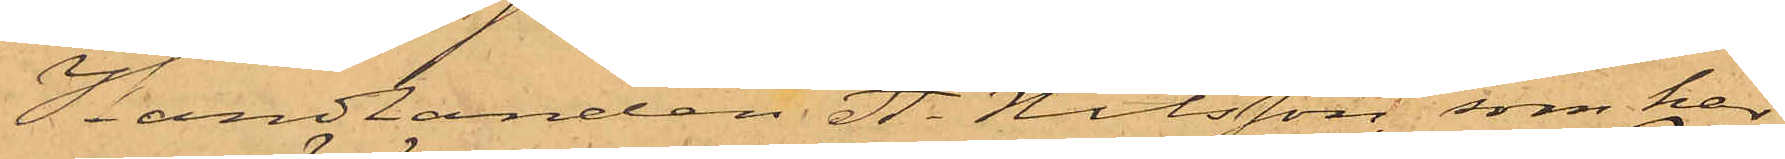Handlanden A. Nilsson, som har
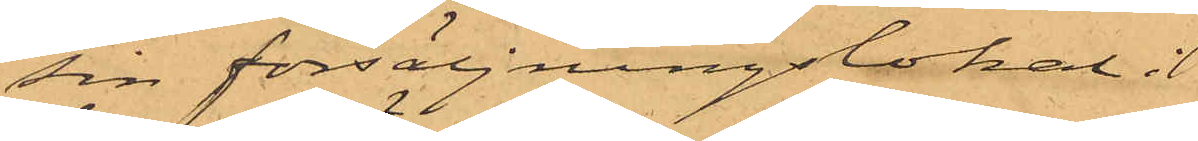sin försäljningslokal i
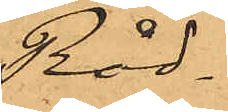Råd¬
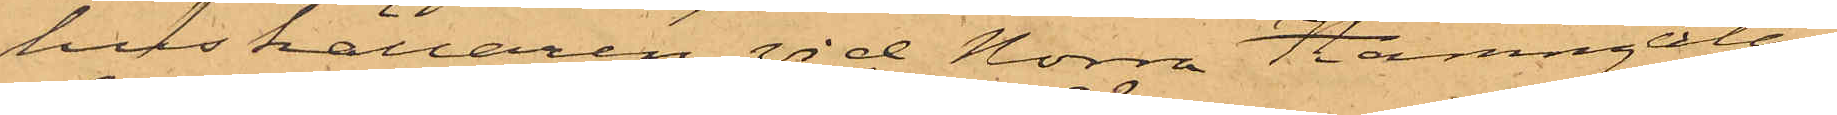huskällaren vid Norra Hamngatan,
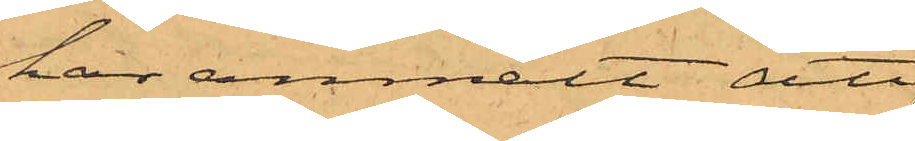har anmält att
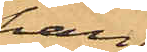han
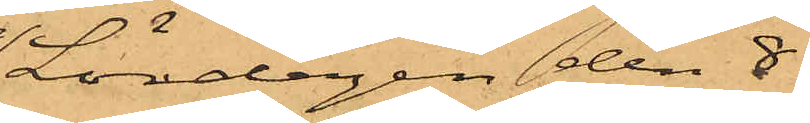Lördagen den 8
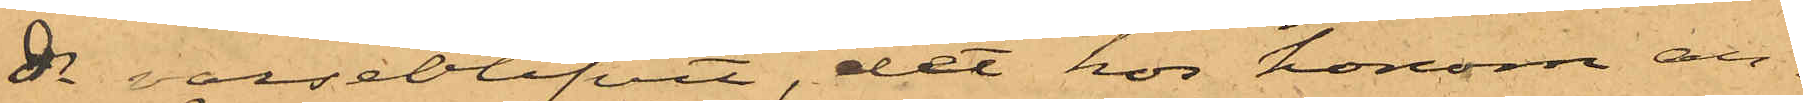ds varseblifvit, det hos honom an¬
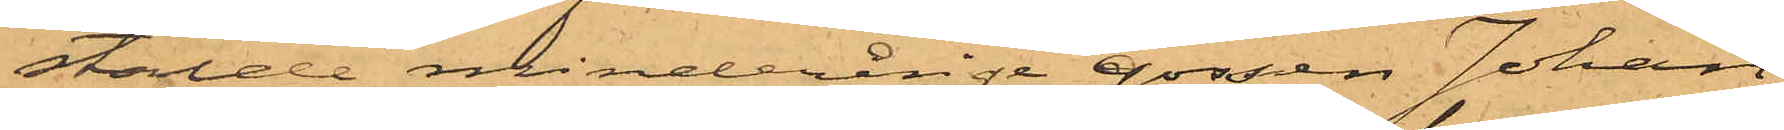stälde minderårige gossen Johan
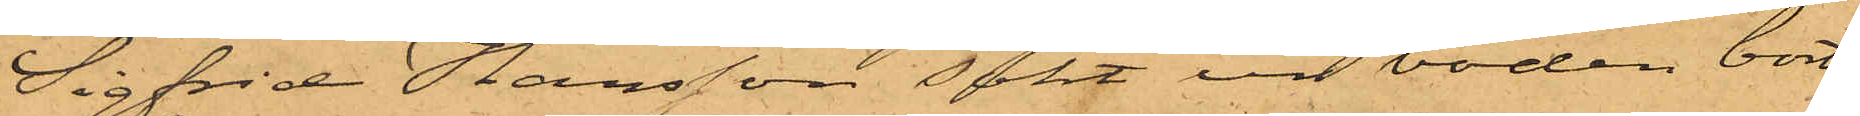Sigfrid Hansson sökt ur boden bort¬
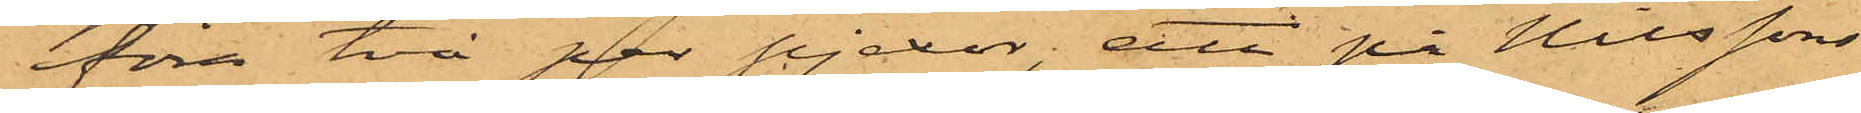föra två par pjexor; att på Nilssons
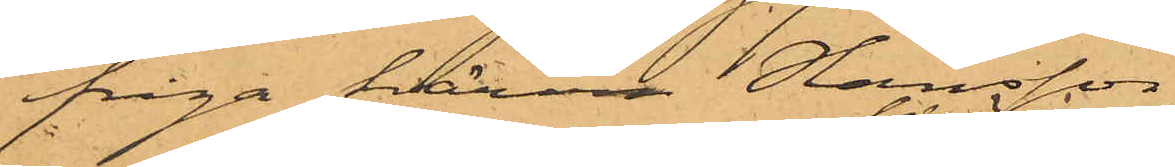fråga härom Hansson
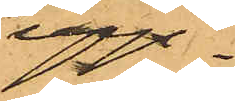upp¬
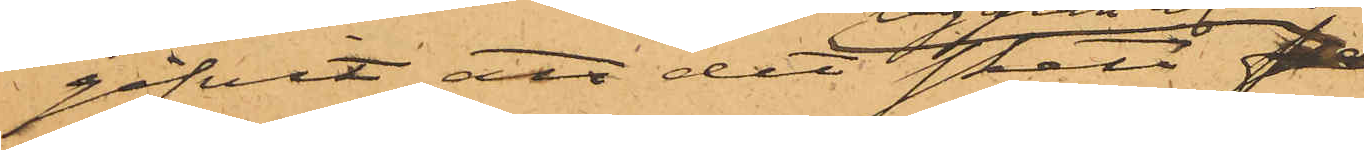gifvit att det skett på
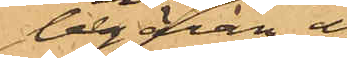begäran af
